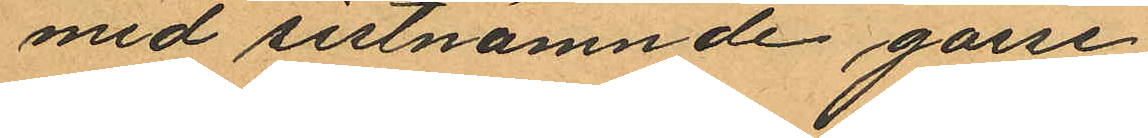med sistnämnde gosse;
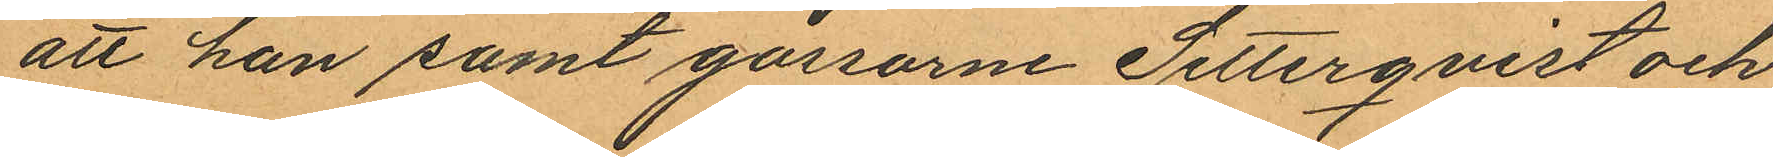att han samt gossarne Setterqvist och
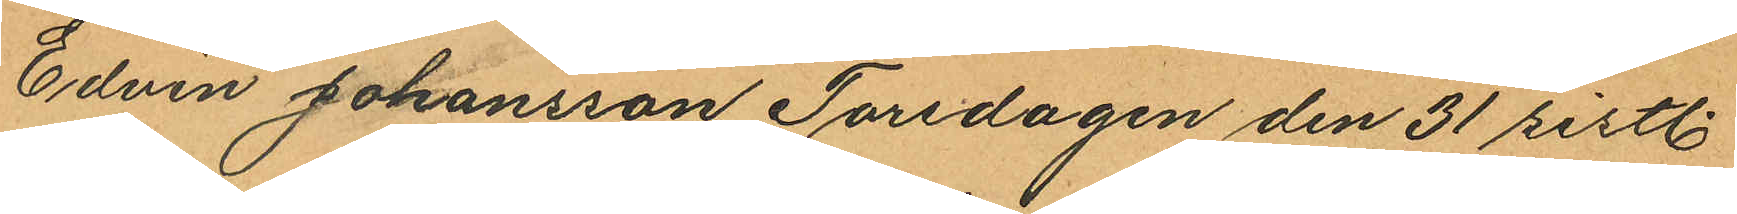Edvin Johansson Torsdagen den 31 sistl.
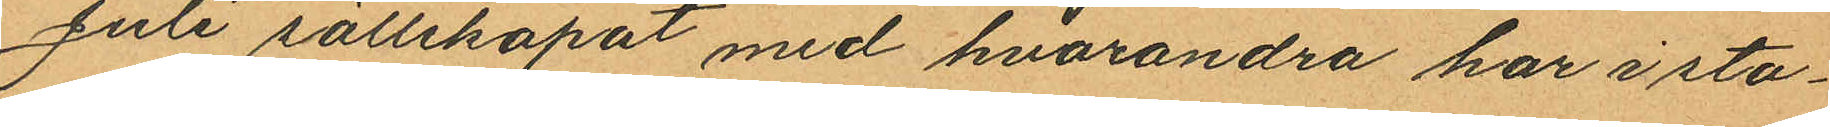Juli sällskapat med hvarandra har i sta¬
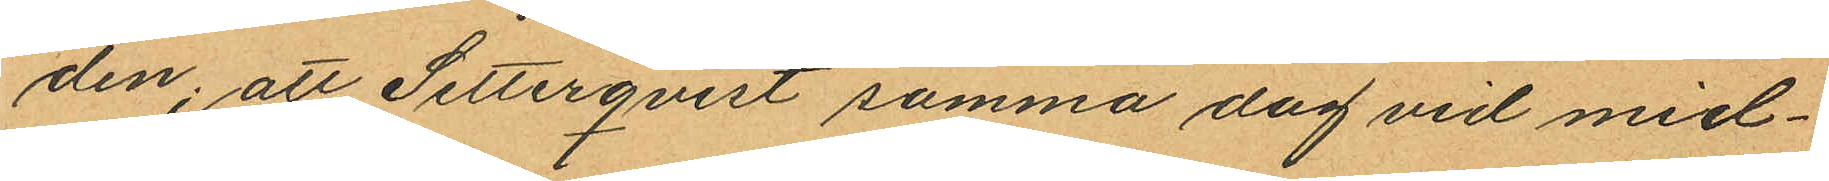den; att Setterqvist samma dag vid mid¬
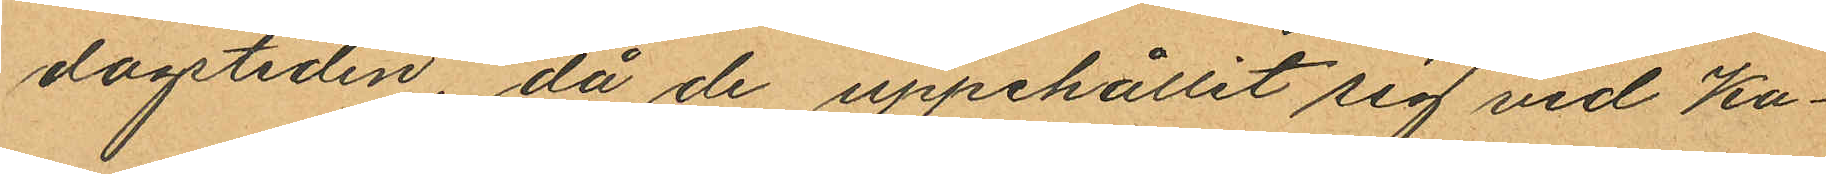dagstiden, då de uppehållit sig vid Ka¬
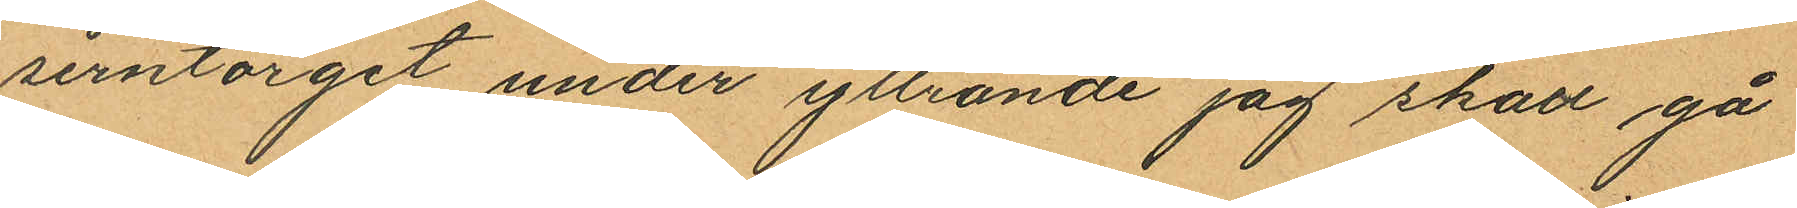serntorget under yttrande "jag skall gå
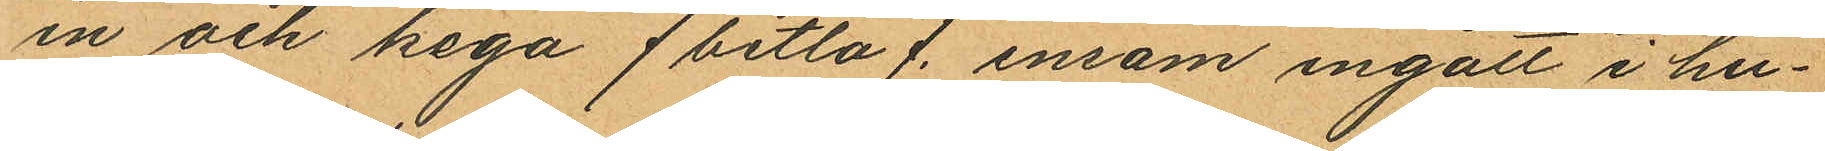in och kega" /betla/ ensam ingått i hu¬
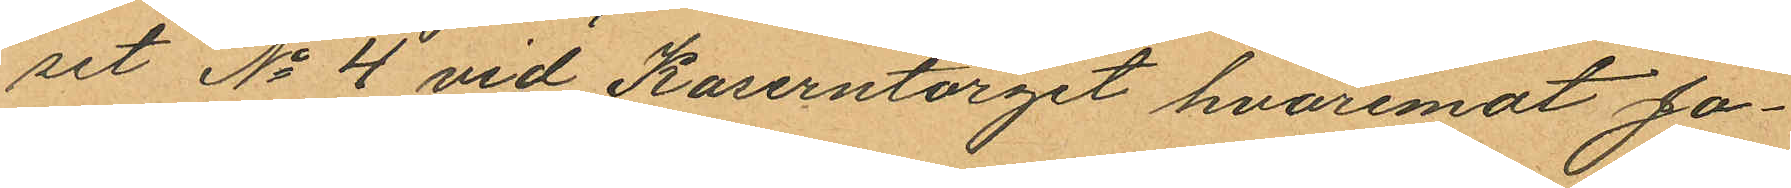set No 4 vid Kaserntorget hvaremot Jo¬
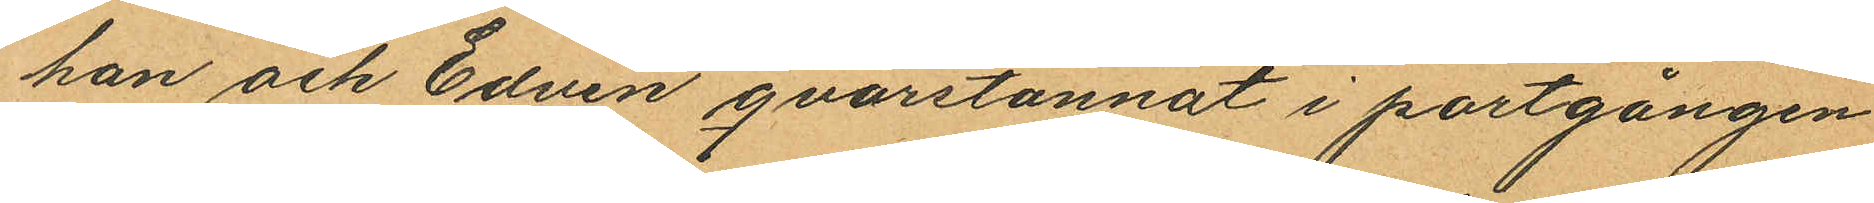han och Edvin qvarstannat i portgången
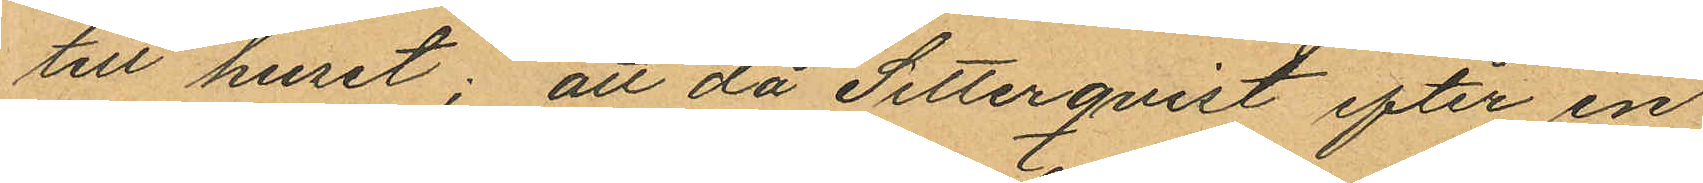till huset; att då Setterqvist efter en
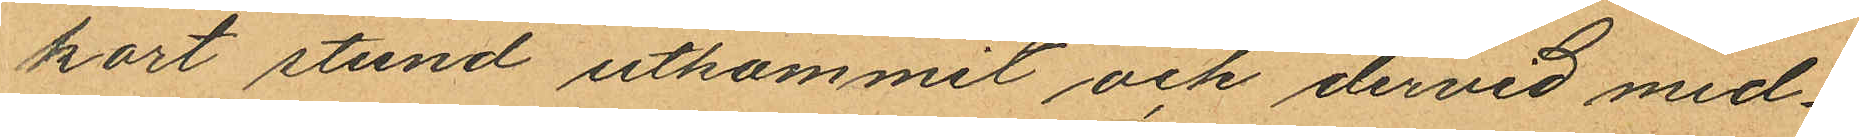kort stund utkommit och dervid med¬
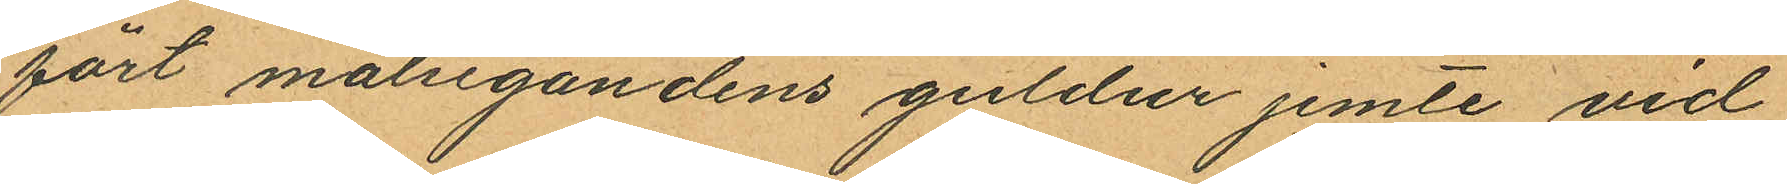fört målsegandens guldur jemte vid
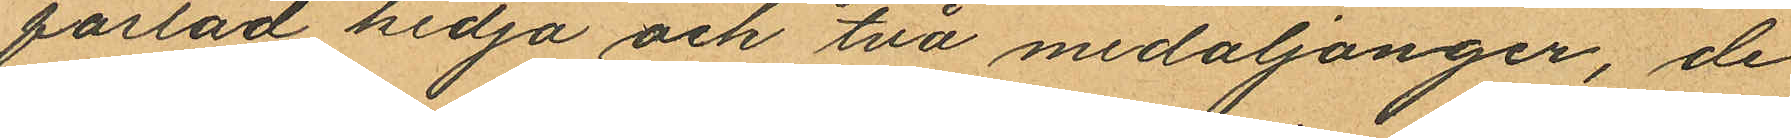fästad kedja och två medaljonger, de
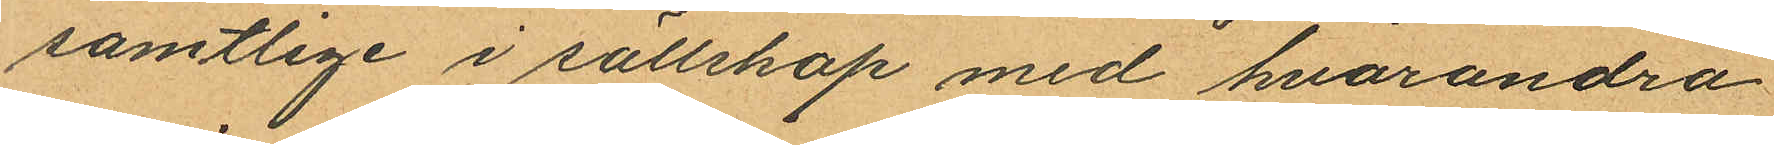samtlige i sällskap med hvarandra
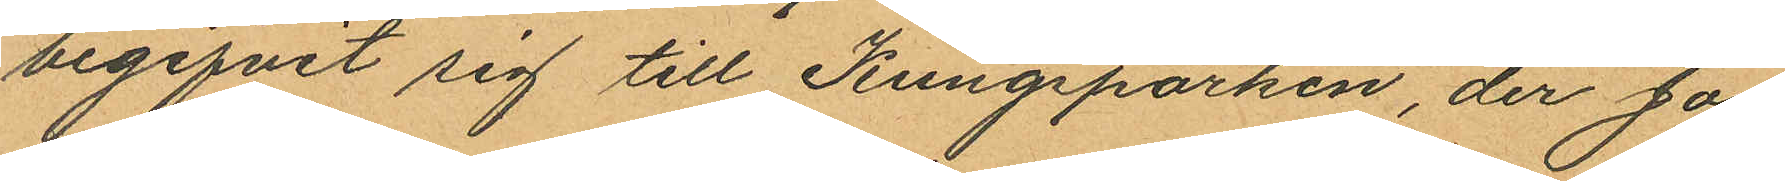begifvit sig till Kungsparken, der Jo¬
